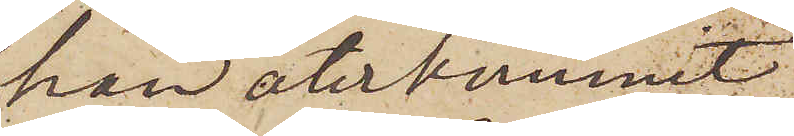han återkommit
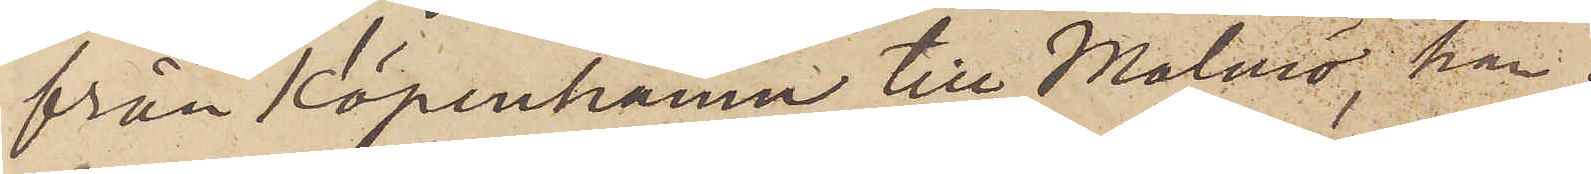från Köpenhamn till Malmö, han
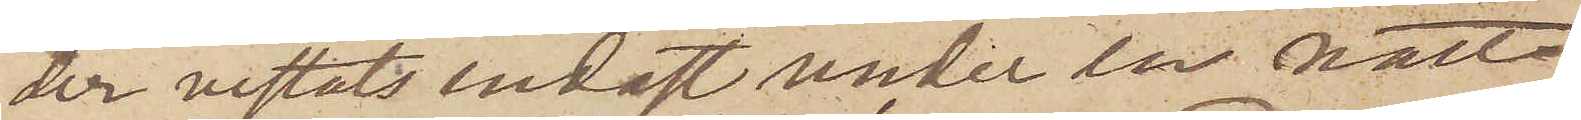der vistats endast under en natt
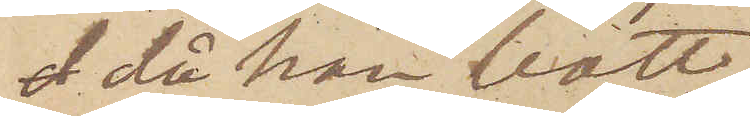 då han bott
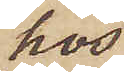hos
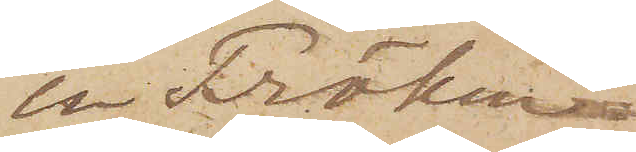en Fröken
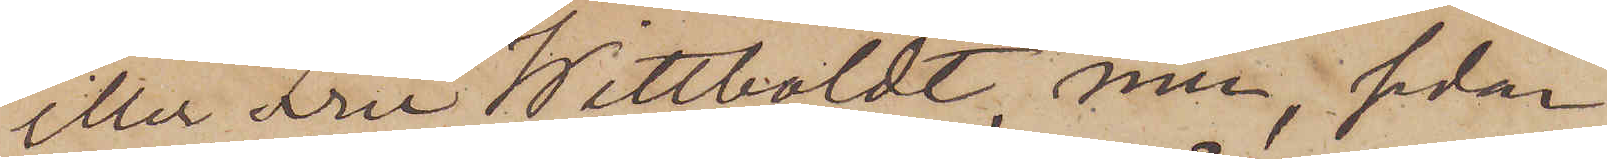eller Fru Wittboldt, men, sedan
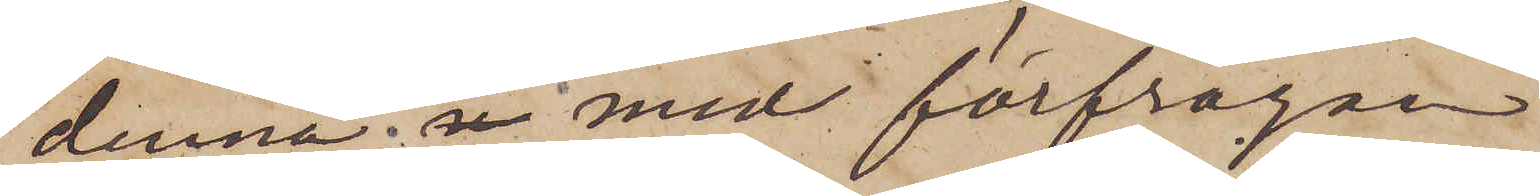denna; med förfrågan
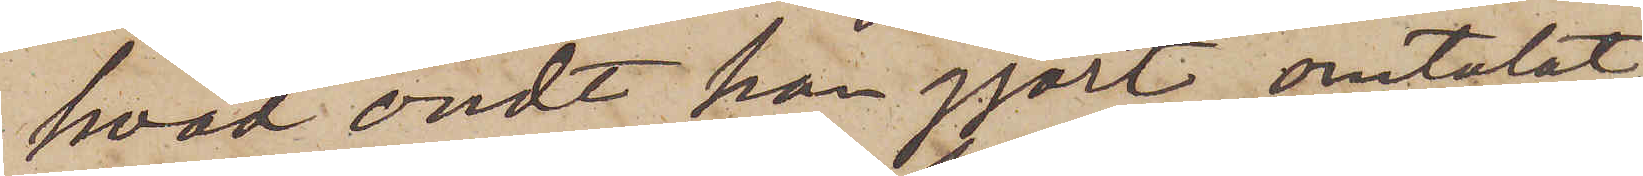hvad ondt han gjort, omtalat
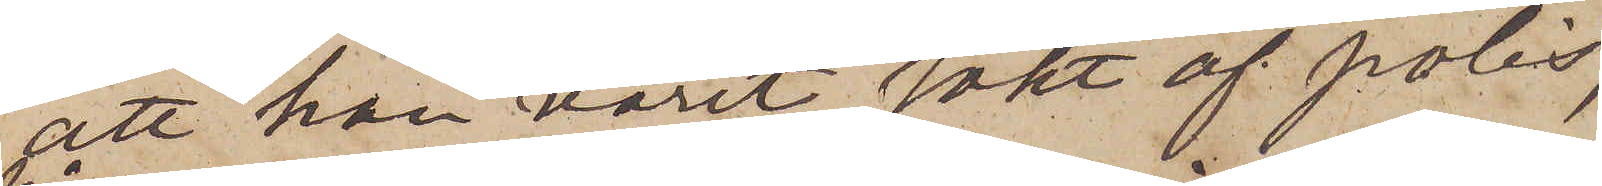att han varit sökt af polis,
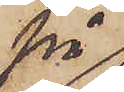på
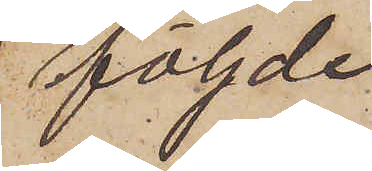följde
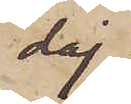dag
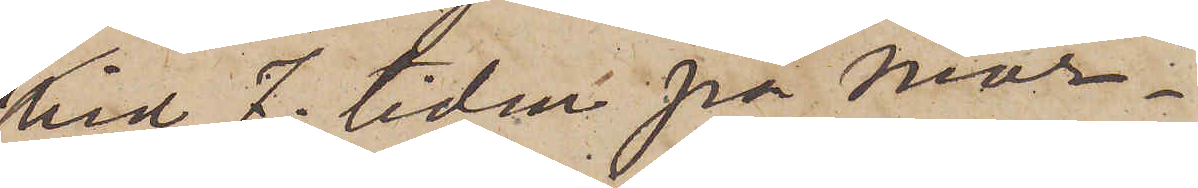vid 7. tiden på mor¬
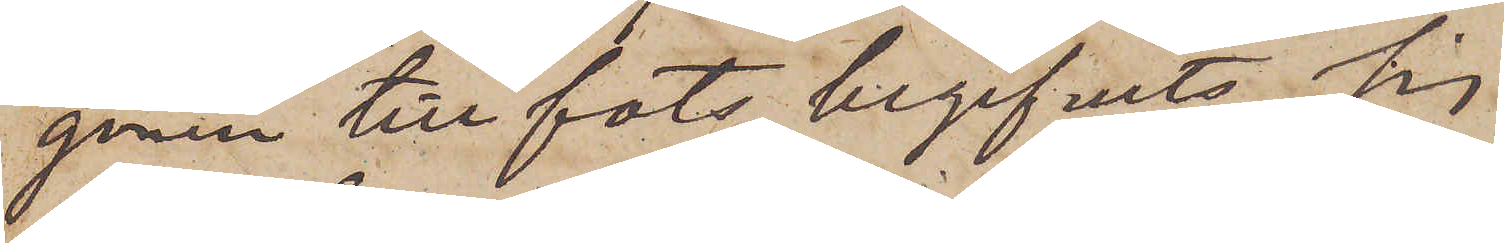gonen till fots begifvit sig
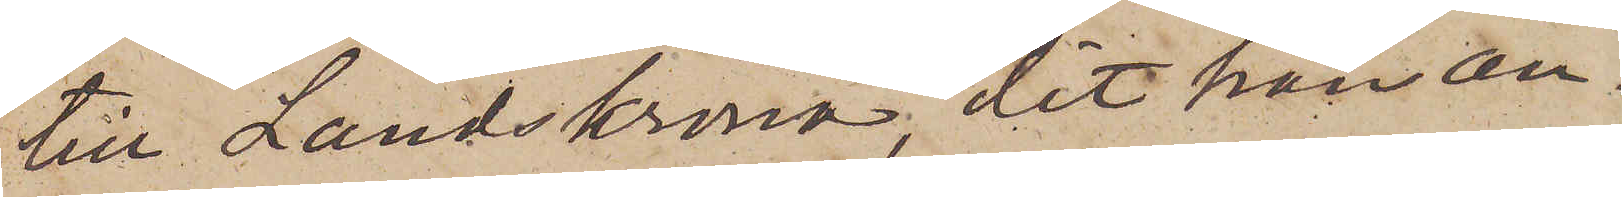till Landskrona, dit han an¬
